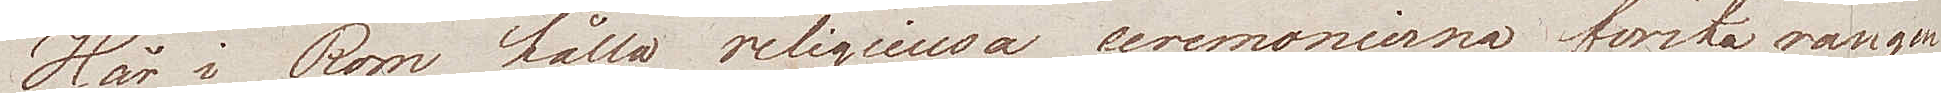Här i Rom hålla religieusa ceremonierna första rangen,
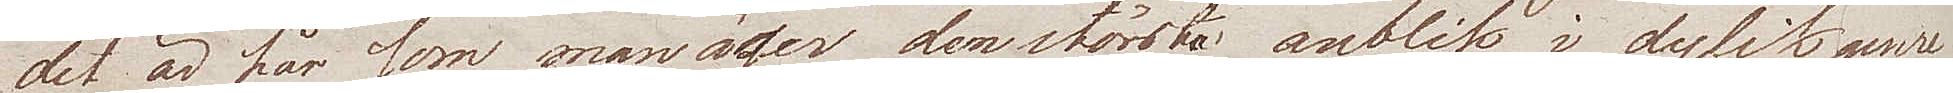det är här som man äger den största anblik i dylik genre
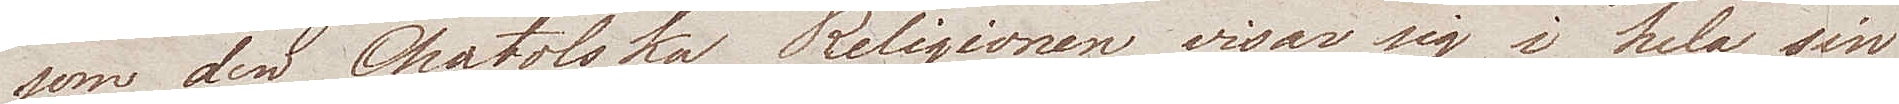som den Chatolska Religionen visar sig i hela sin
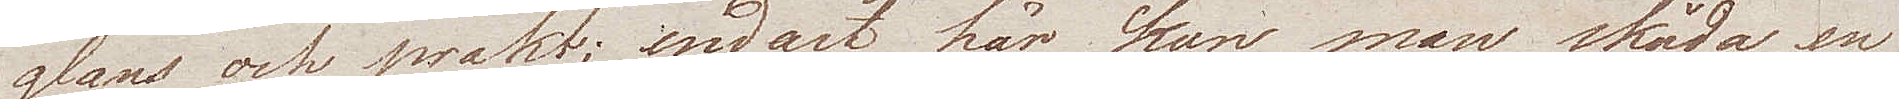glans och prakt; endast här kan man skåda en
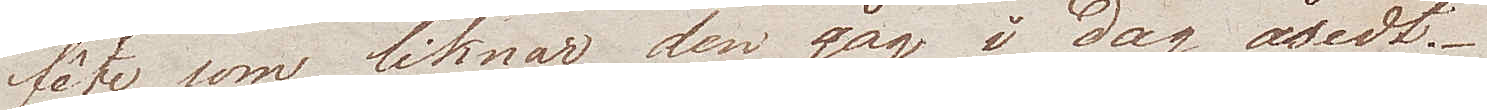fête som liknar den jag i dag åsedt.
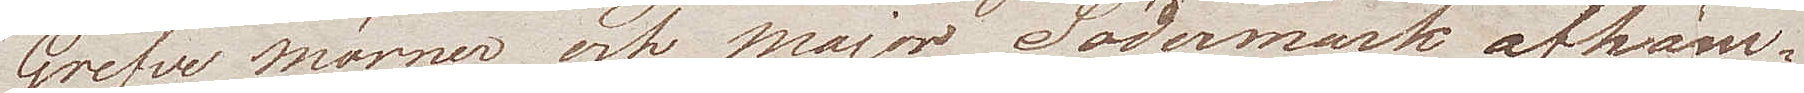Grefve Mörner och major Södermark afhäm¬
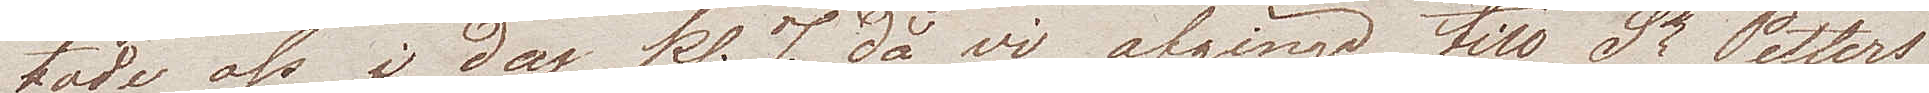tade oss i dag kl. 7 då vi afgingo till St Petters 
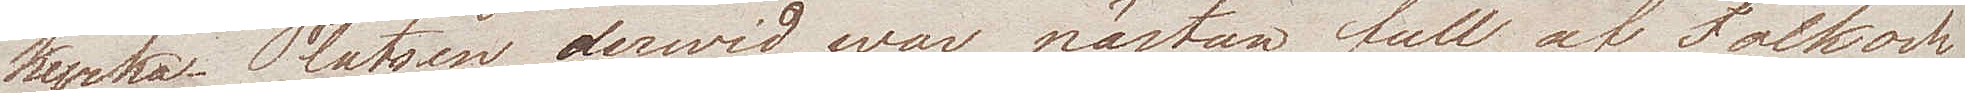kyrka. Platsen derwid war nästan full af folk och
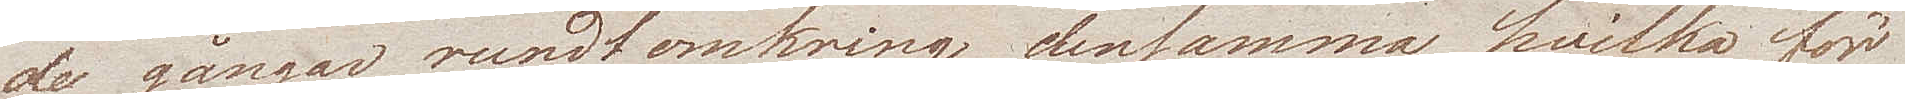de gångar rundtomkring densamma, hvilka för
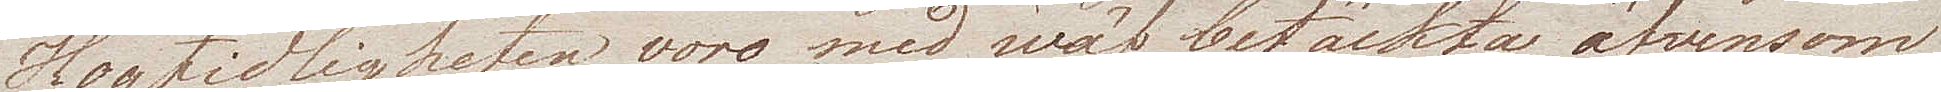Högtidligheten voro med wäf betäckta äfvensom
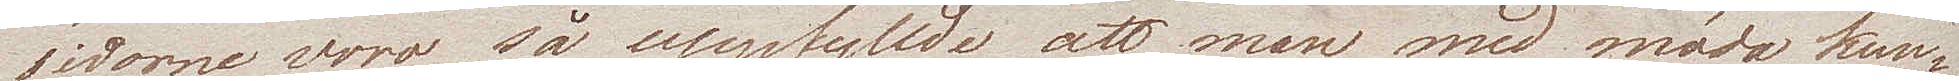sidorne voro så uppfyllda att man med möda kun¬
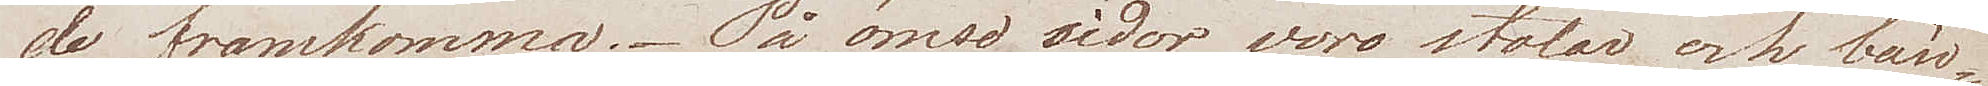de framkomma. På ömse sidor voro stolar och bän¬
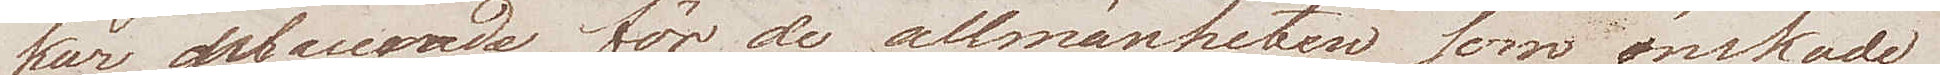kar placerade för de allmänheten som önskade
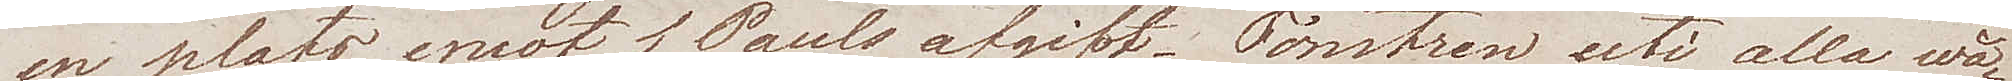en plats emot 1 Pauls afgift. Fönstren uti alla wå¬
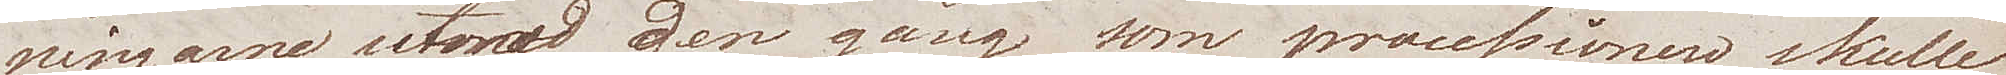ningarne utmed den gång som processionen skulle
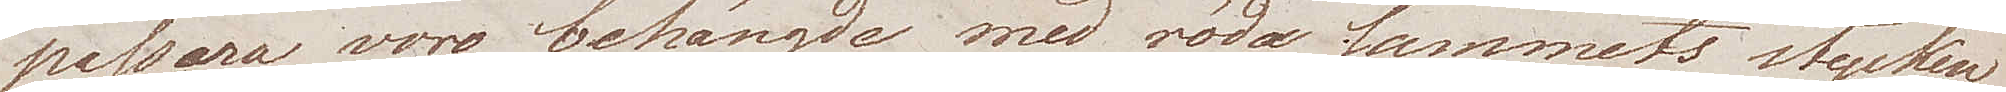passera voro behängda med röda sammets stycken
